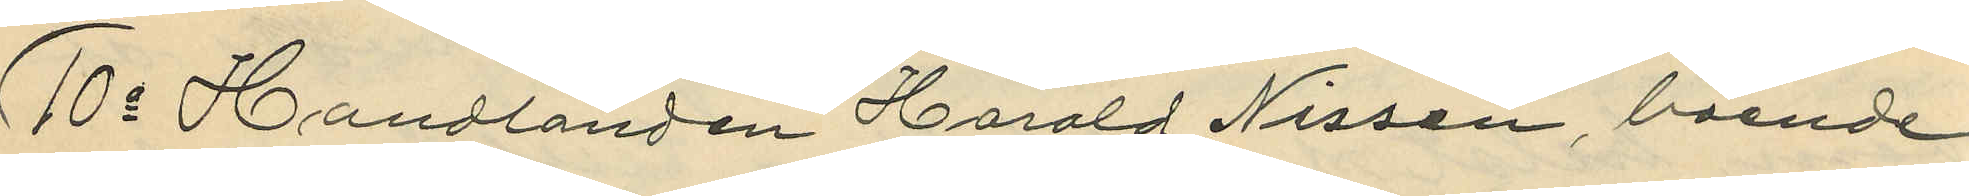10o Handlanden Harald Nissen, boende
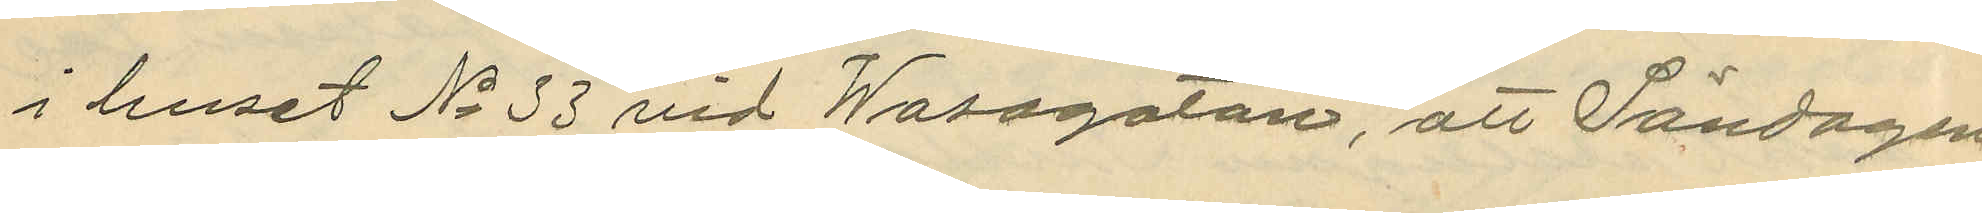i huset No 33 vid Wasagatan, att Söndagen
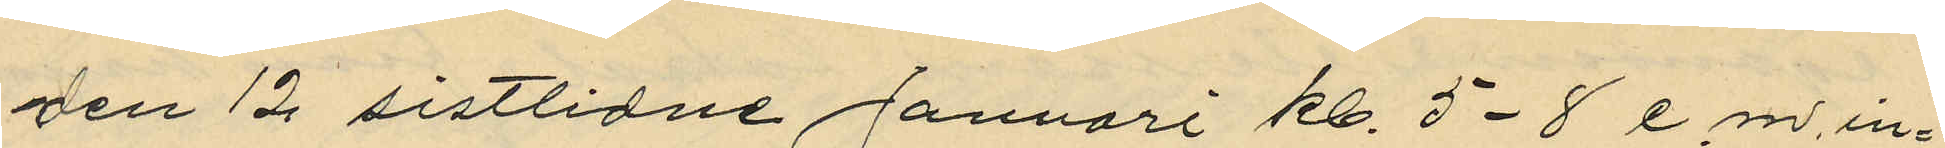den 12 sistlidne Januari kl. 5-8 e.m. in¬
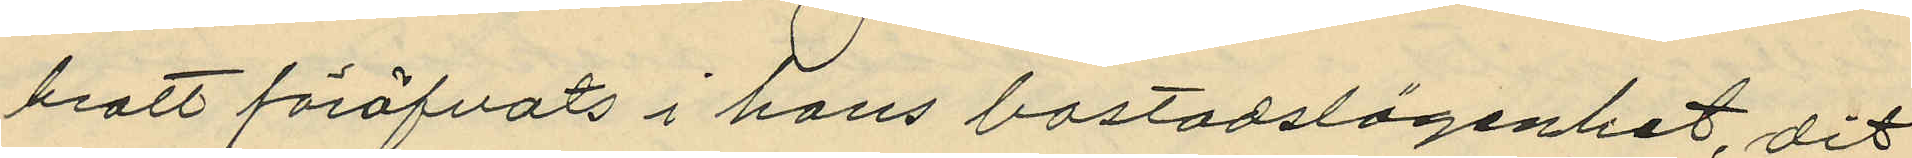brott föröfvats i hans bostadslägenhet, dit
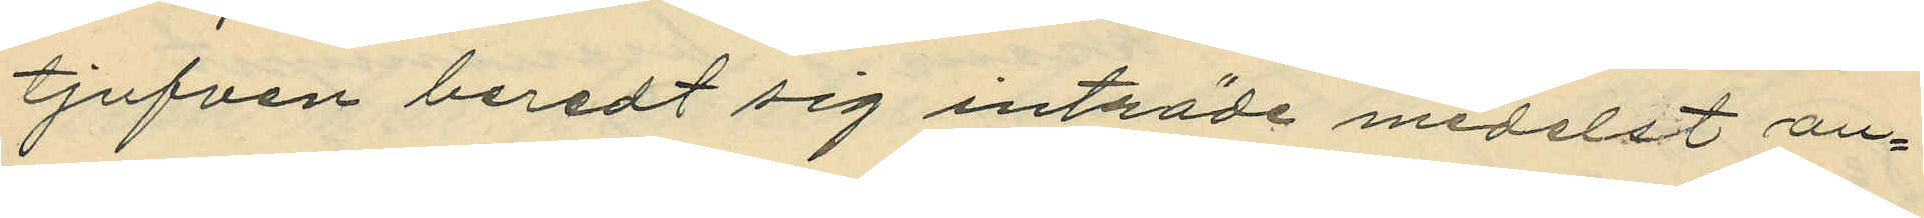tjufven beredt sig inträde medelst an¬
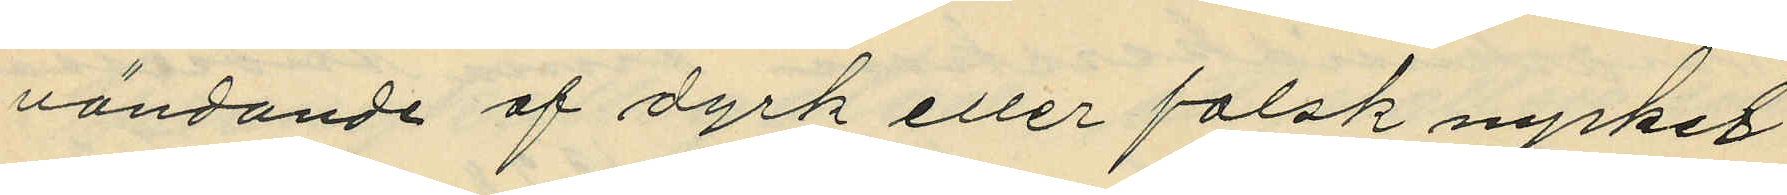vändande af dyrk eller falsk nyckel
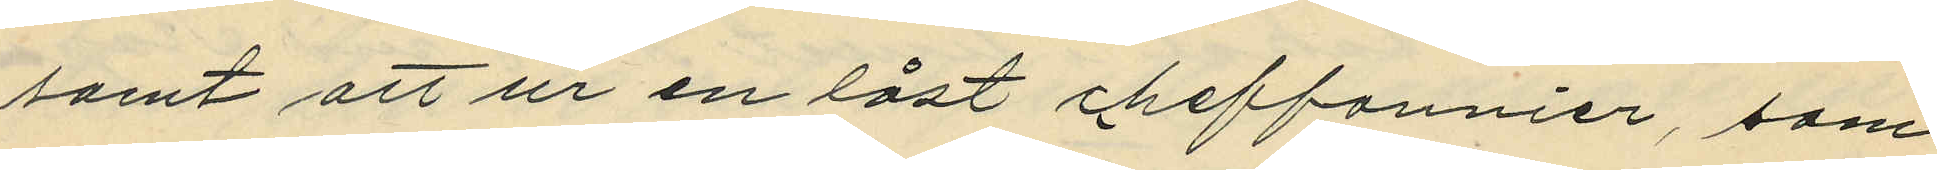samt att ur en låst cheffonnier, som
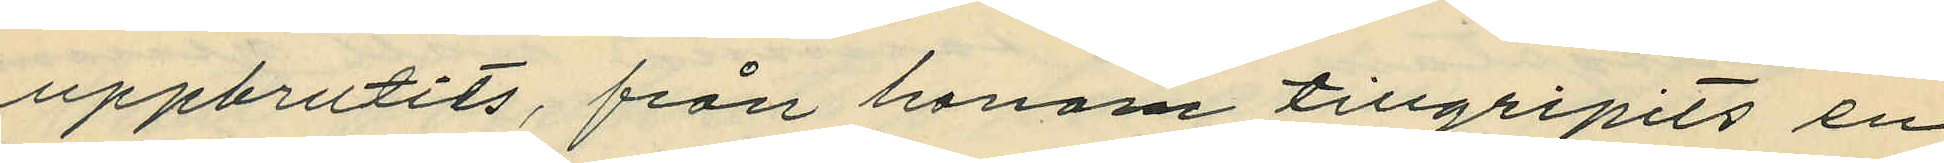uppbrutits, från honom tillgripits en
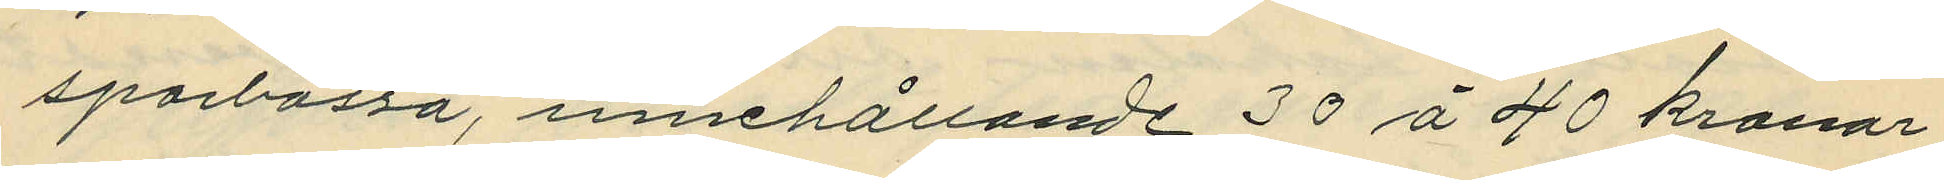sparbössa, innehållande 30 á 40 kronor
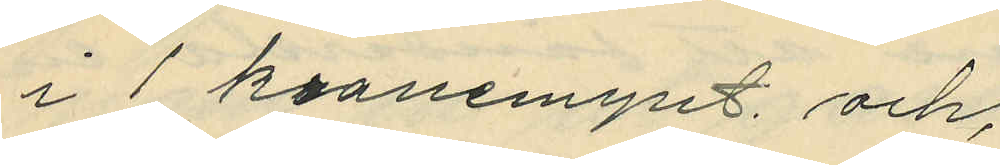i 1 kronemynt och;
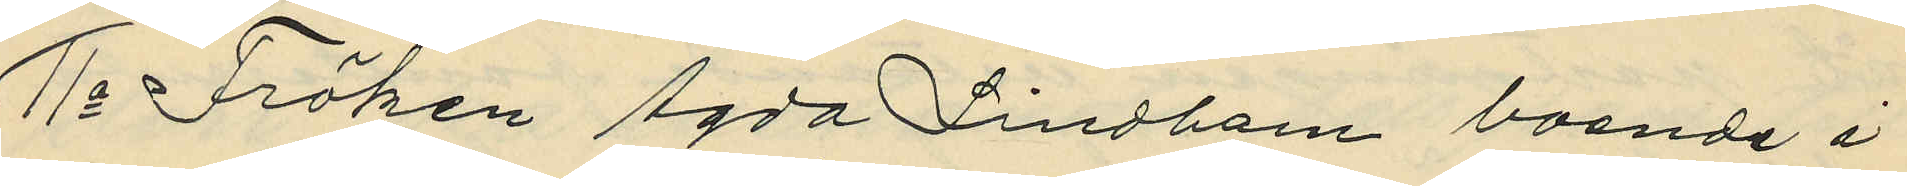11o Fröken Agda Lindbom boende i
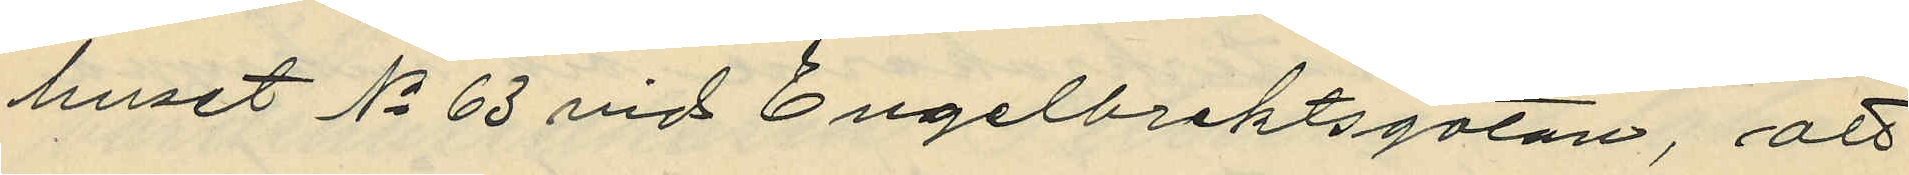huset No 63 vid Engelbrektsgatan, att
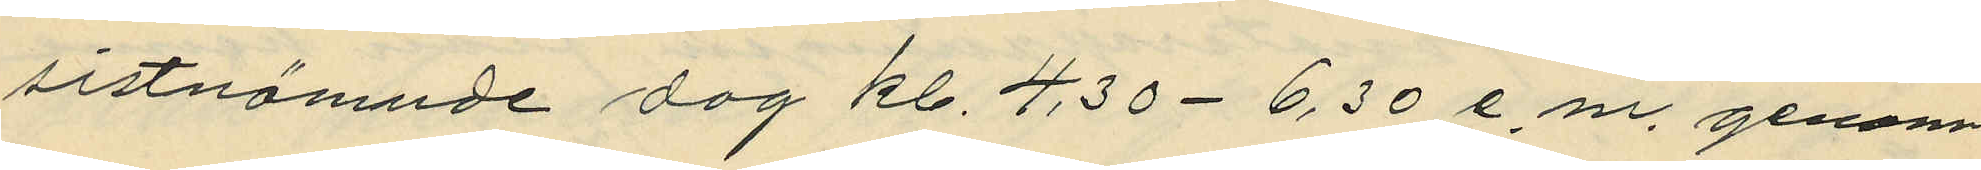sistnämnde dag kl. 4.30 - 6.30 e.m. genom
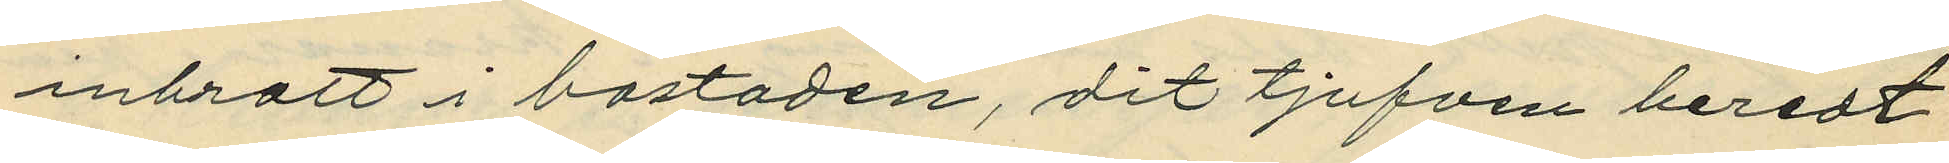inbrott i bostaden, dit tjufven beredt
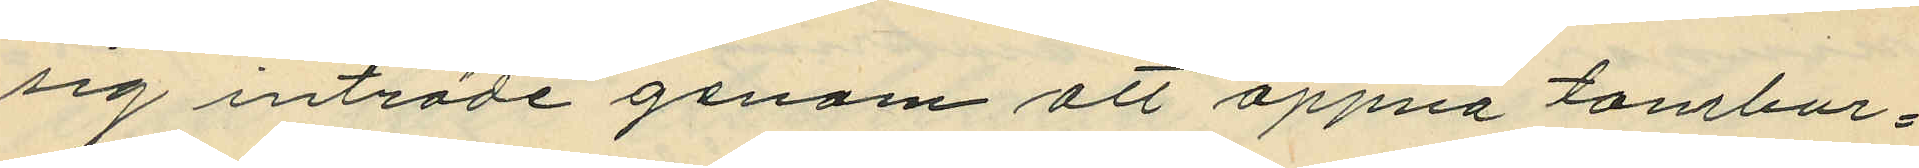sig inträde genom att öppna tambur¬
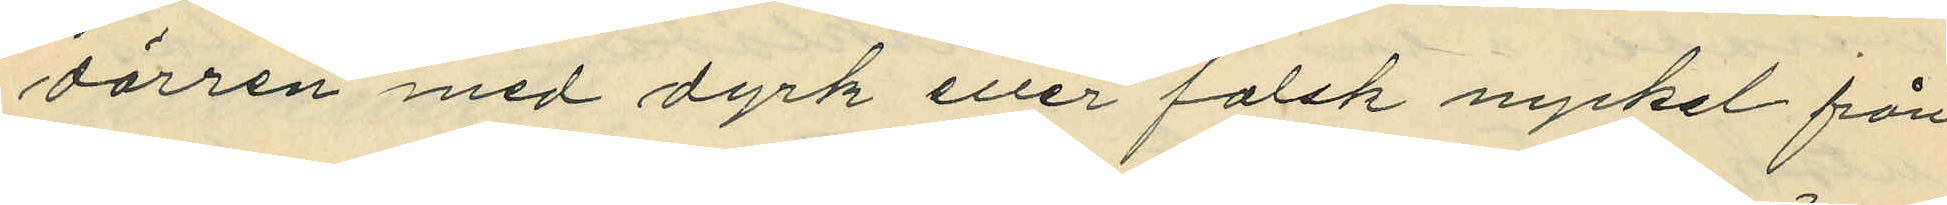dörren med dyrk eller falsk nyckel från
